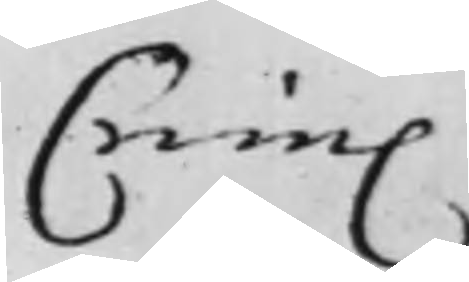Crim.
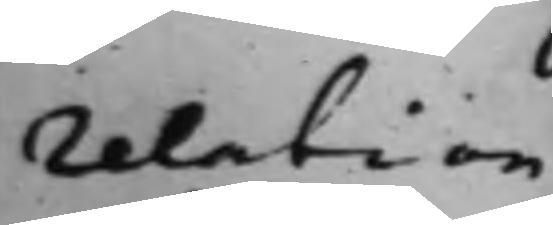relation
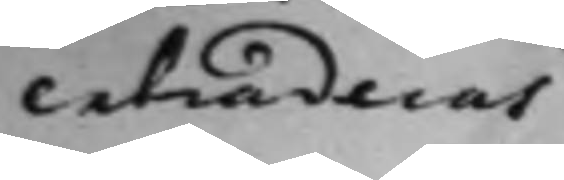extraderas
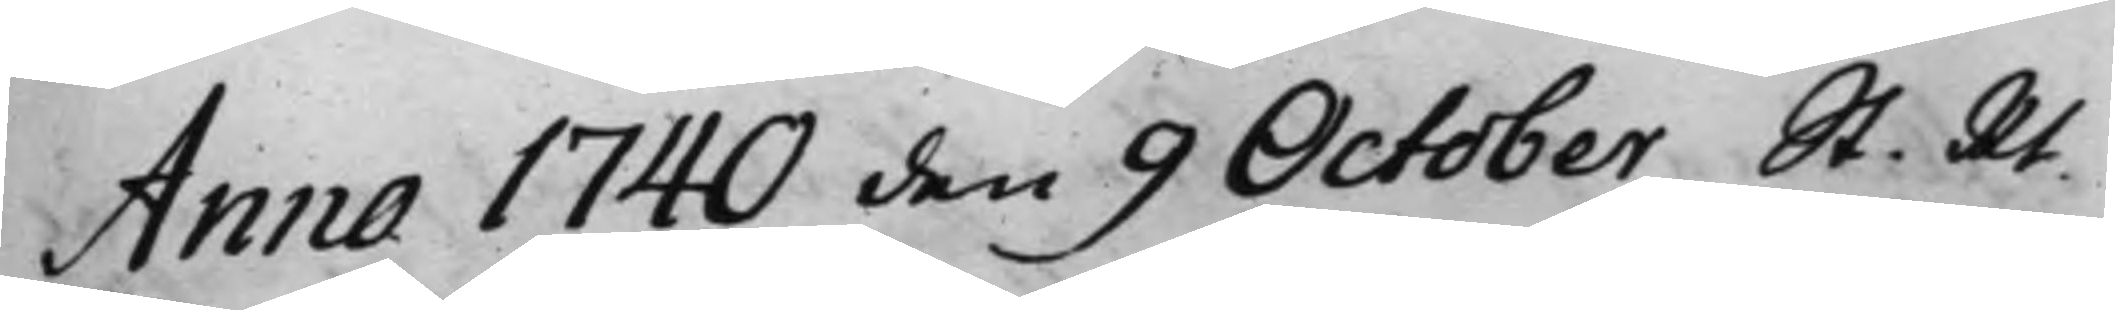Anna 1740 den 9 October St. Rt
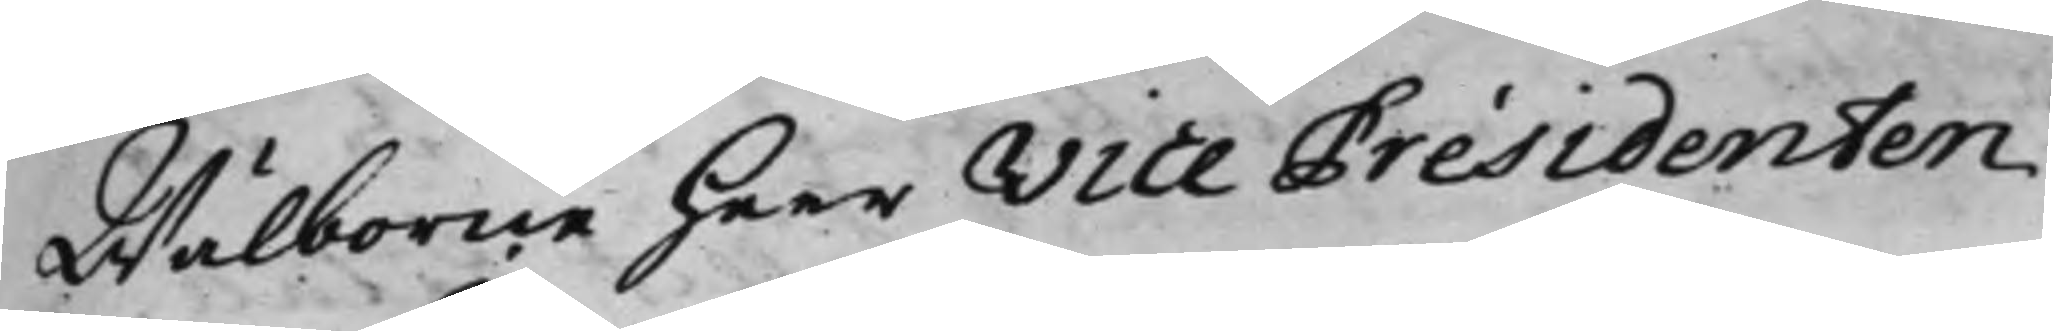Wälborne Herr Vice Présidenten
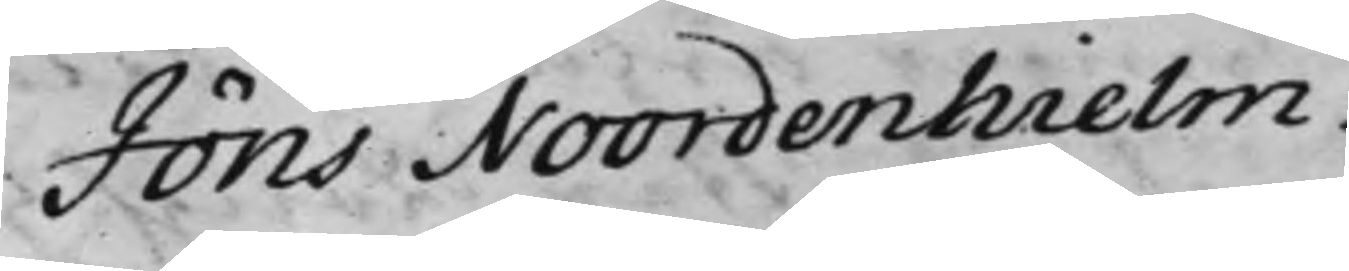Jöns Noordenhielm.
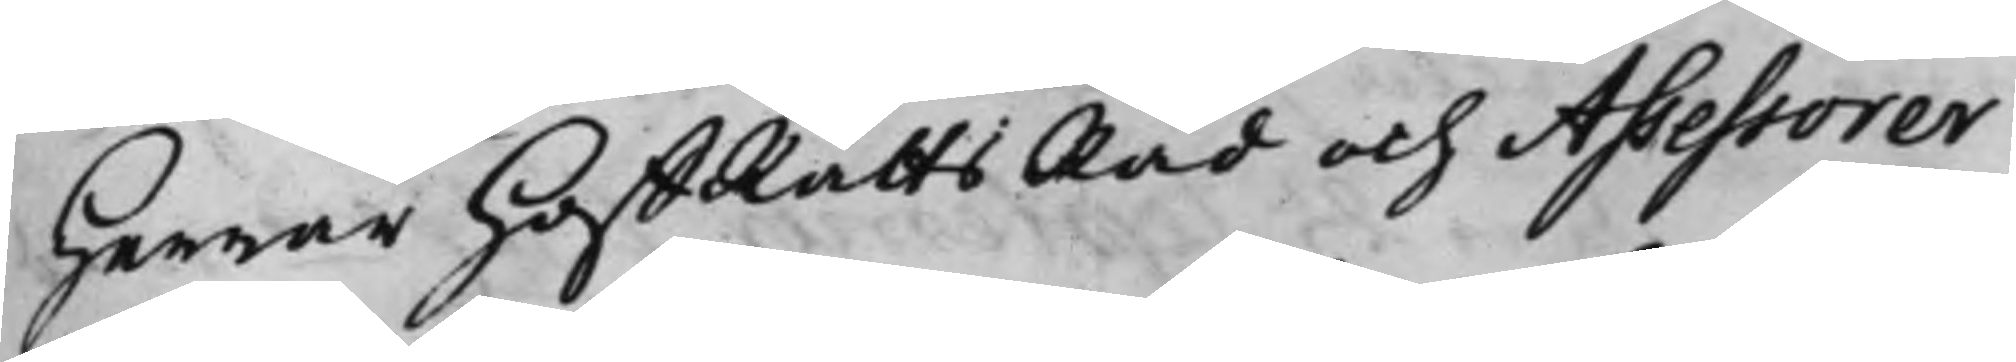Herrar HoffRättsRåd och Assessorer
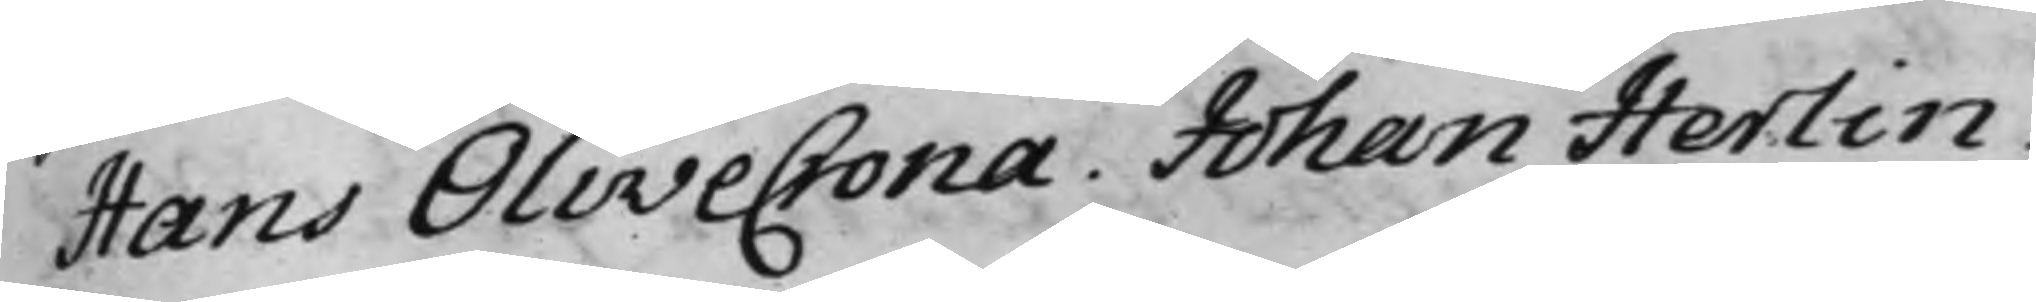Hans Olivecrona. Johan Herlin.
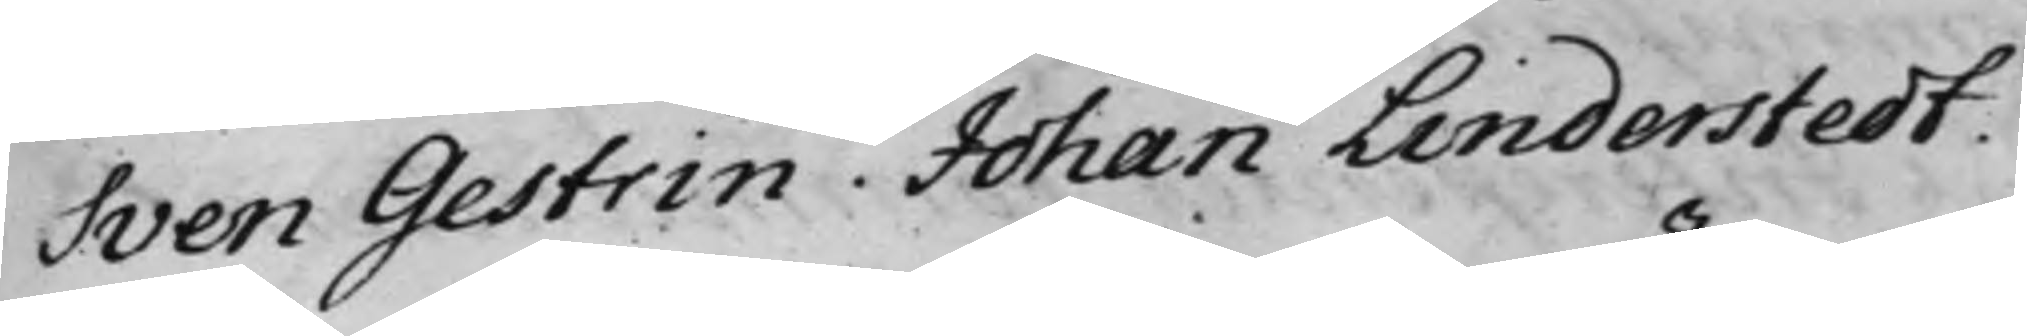Sven Gestrin. Johan Linderstedt.
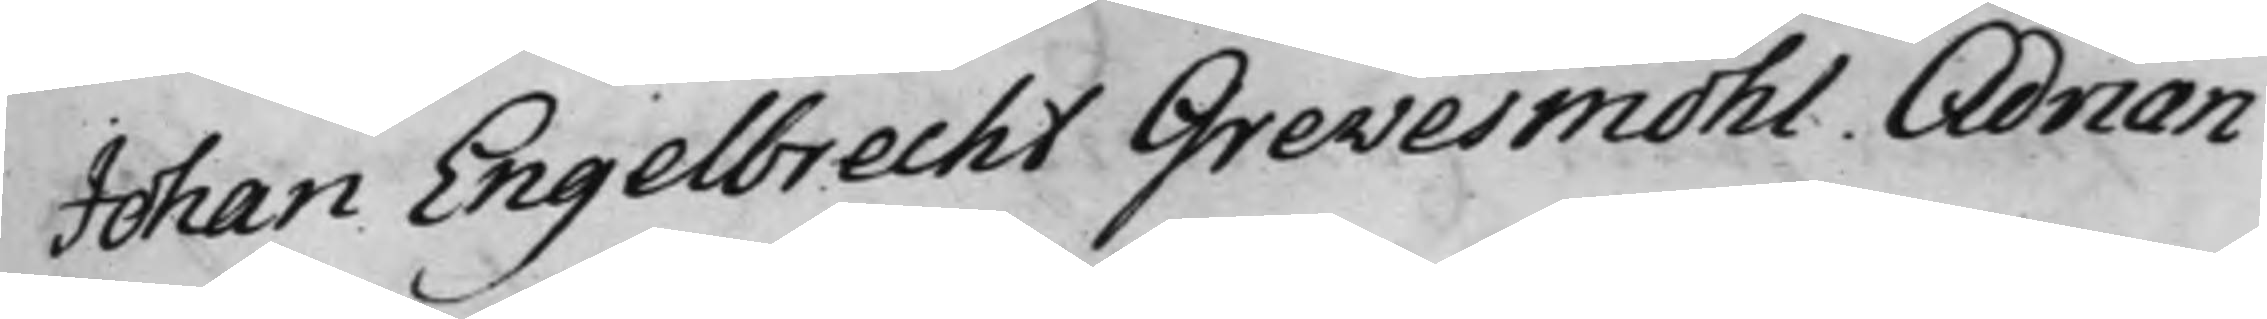Johan Engelbrecht Grevesmöhl. Adrian
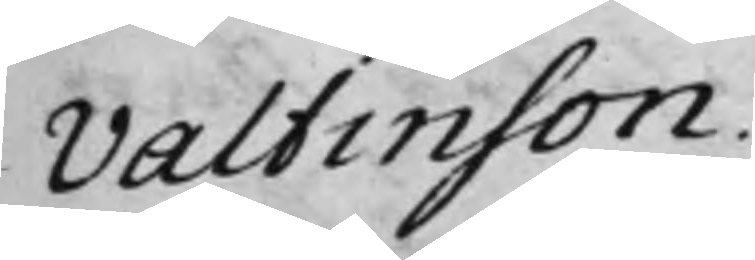Valtinson.
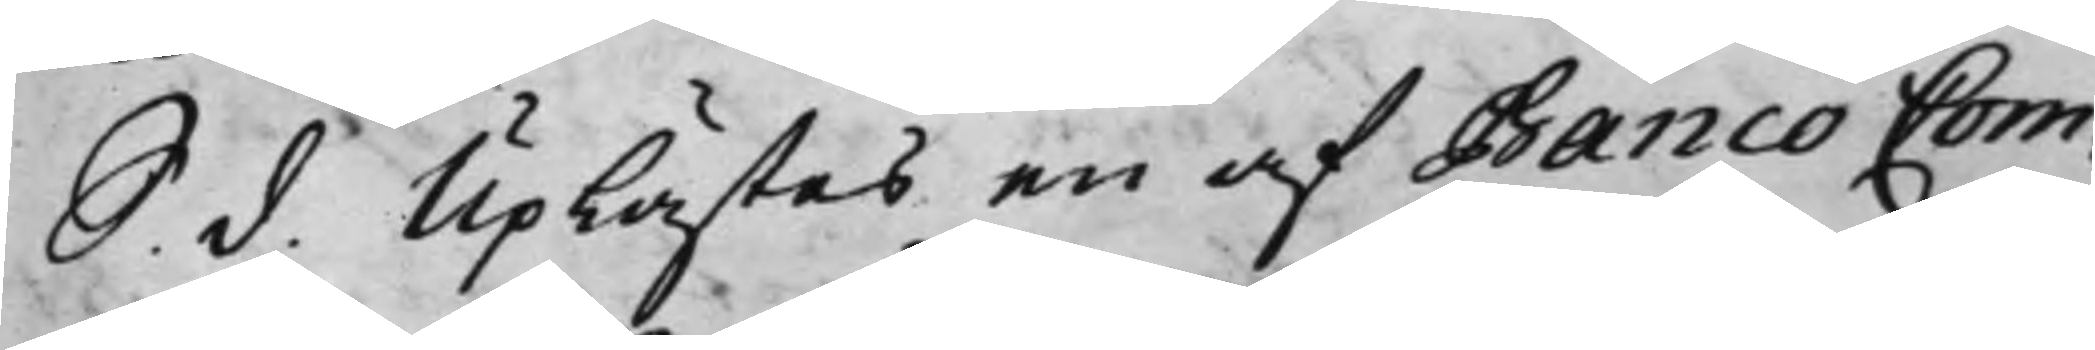S. d. Uplästes en af Banco Com¬
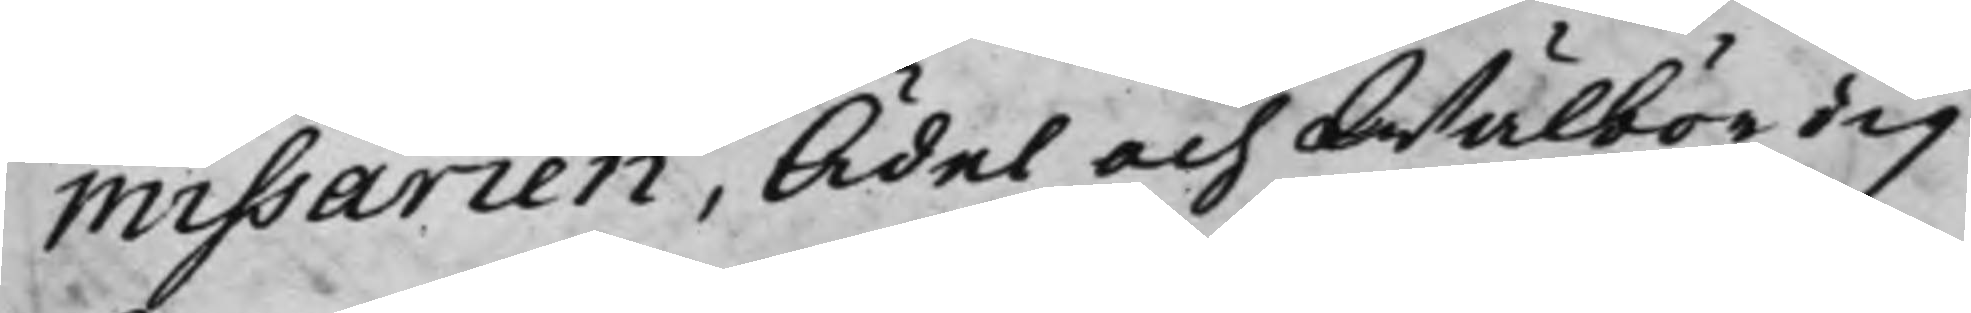missarien, Ädel och Wälbördig
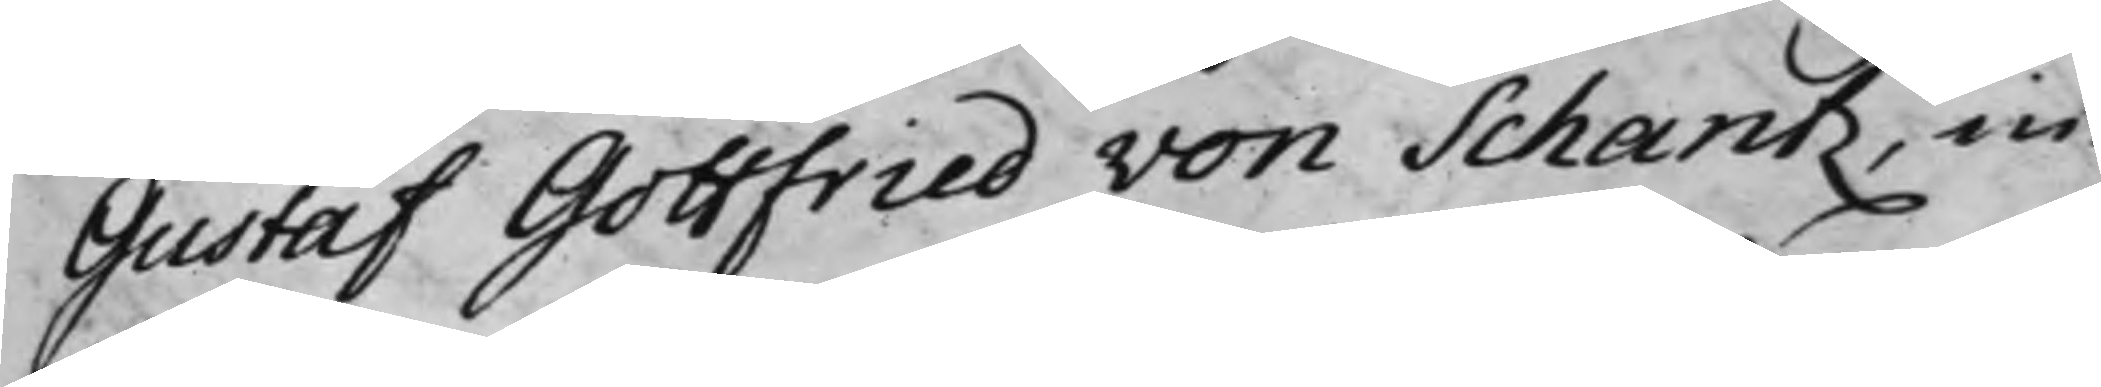Gustaf Gottfried von Schantz, in¬
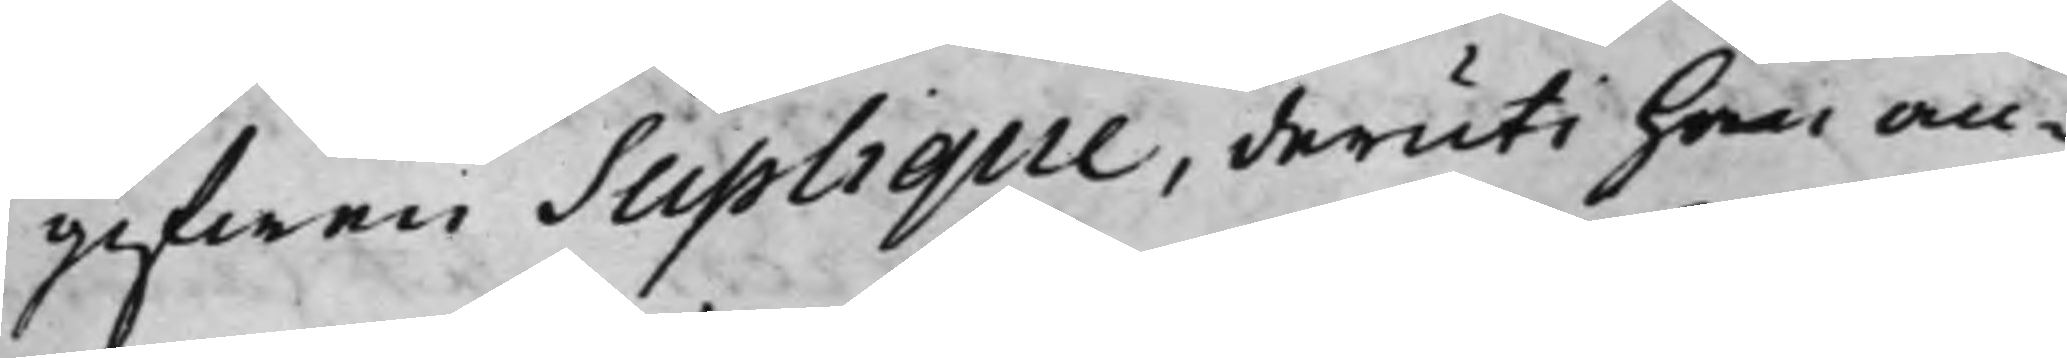gifwen Suplique, deruti han an¬
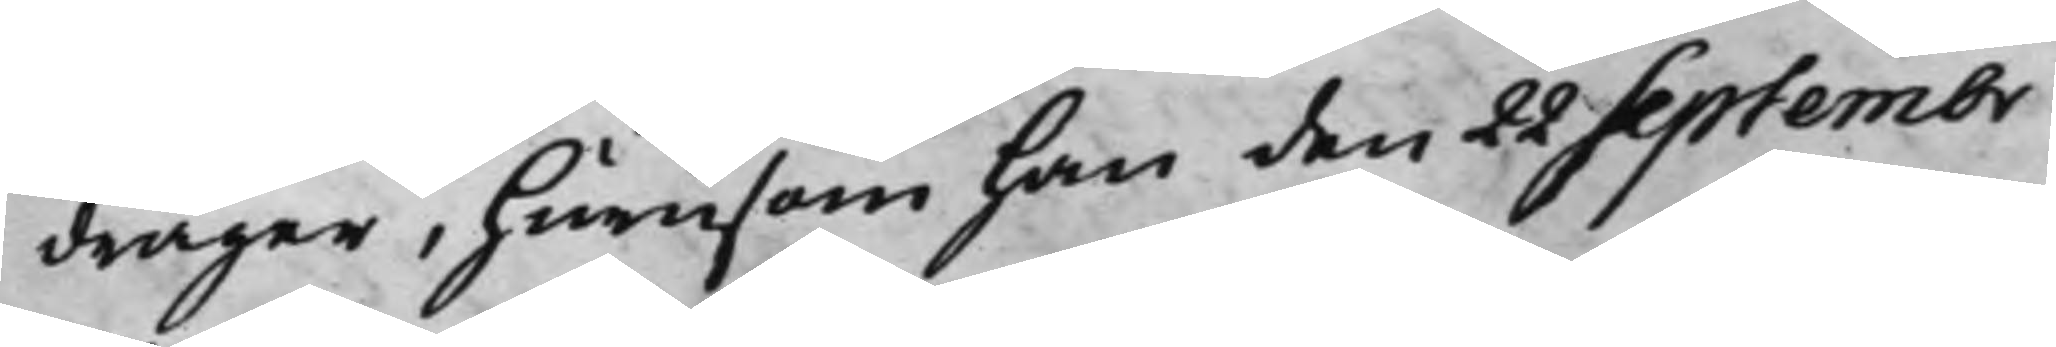drager, hurusom han den 22 Septembr
